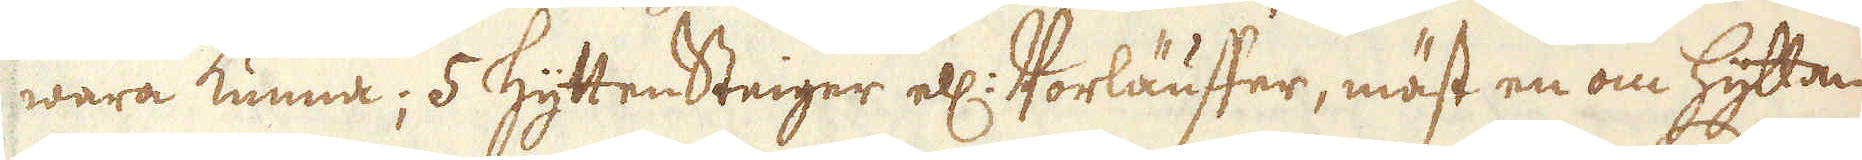wara kunna; 5 HyttenSteiger ell: Vorläuffer, mäst en om Hyttan,
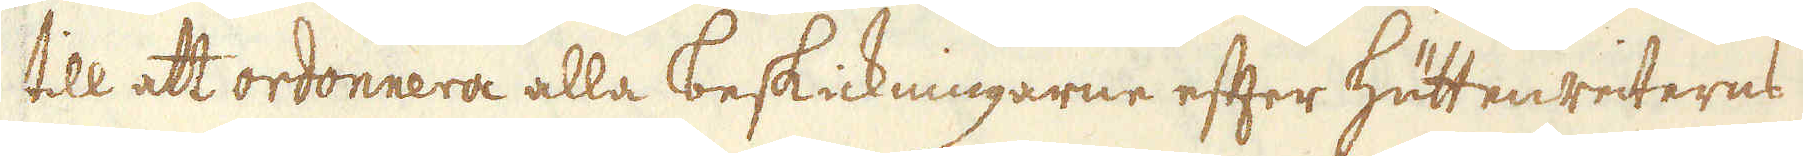till att ordonnera alla beskickningarne efter Hüttenreiterns
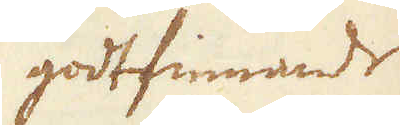godtfinnande
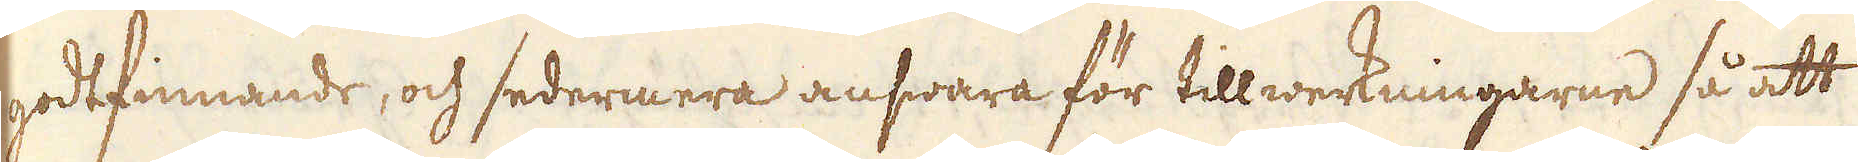godtfinnande, och sedermera answara för tillwerkningarne så att
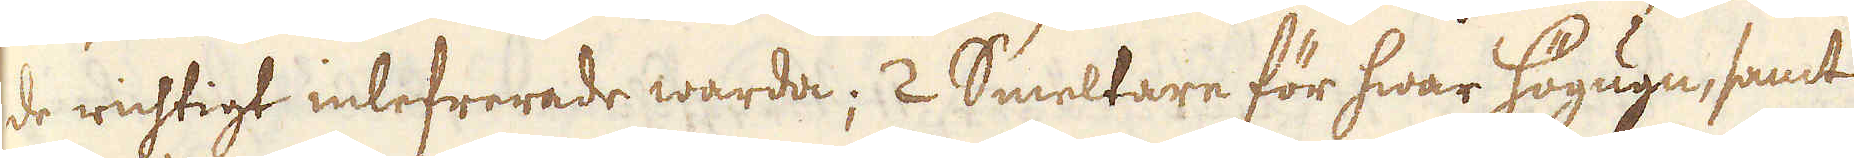de richtigt inlefrerade warda; 2 Smeltare för hwar Högugn, samt
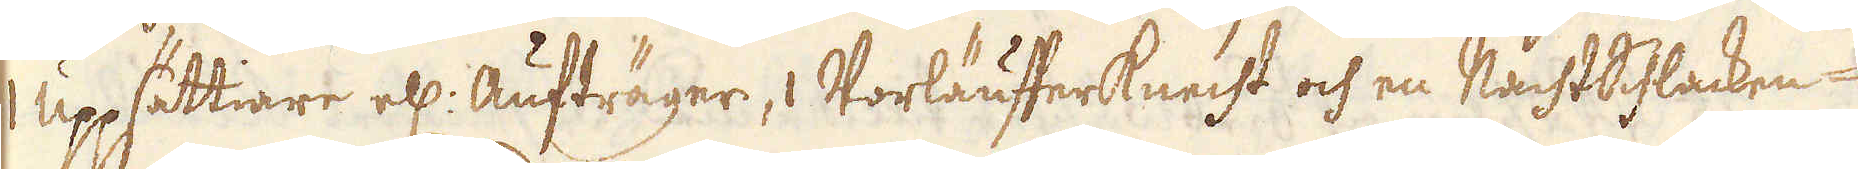1 uppsättiare ell: Aufträger, 1 Vorläufferknecht och en NachtSchlacken-
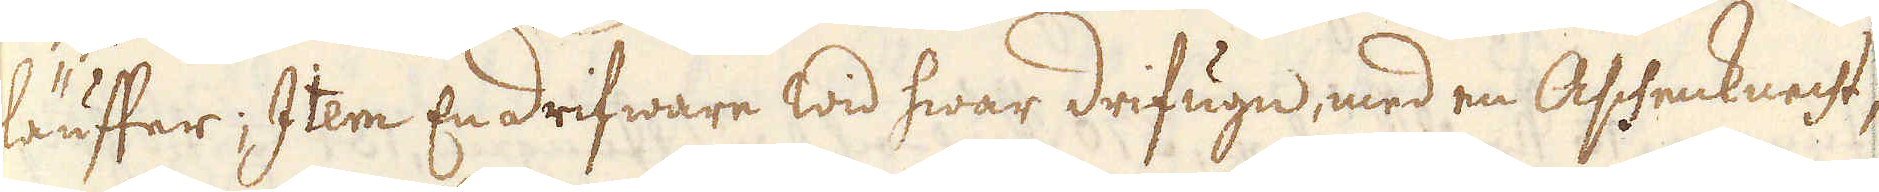läuffer; Item En drifware wid hwar drifugn, med en Aschenknecht;
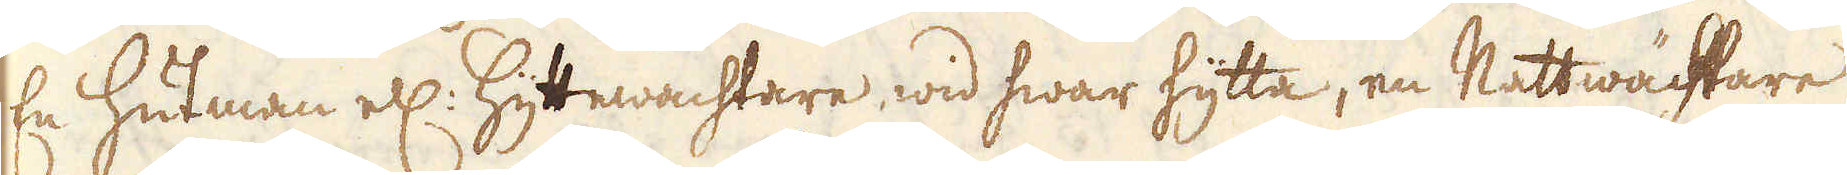En Hutman ell: Hyttewachtare wid hwar hytta, en Nattwächtare
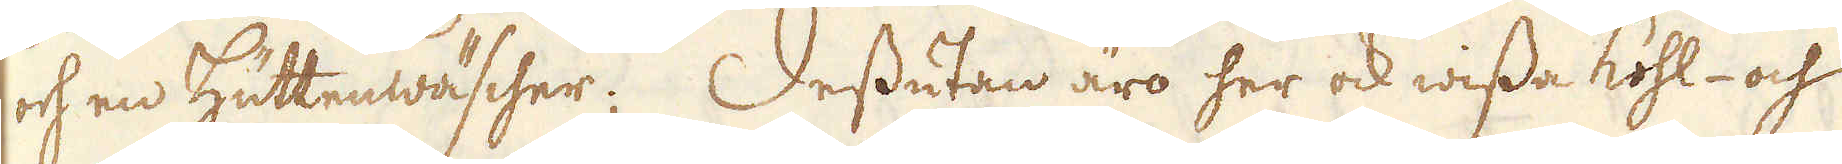och en Hüttenwäscher; Dessutan äro her ock wissa kohl- och
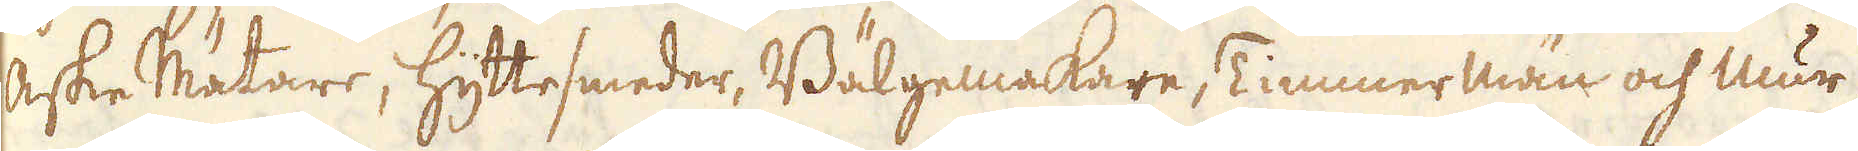Aske Mätare, hyttesmeder, Bälgemakare, Timmer män och mur-
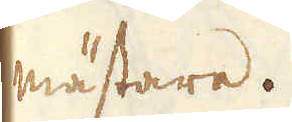mästare.
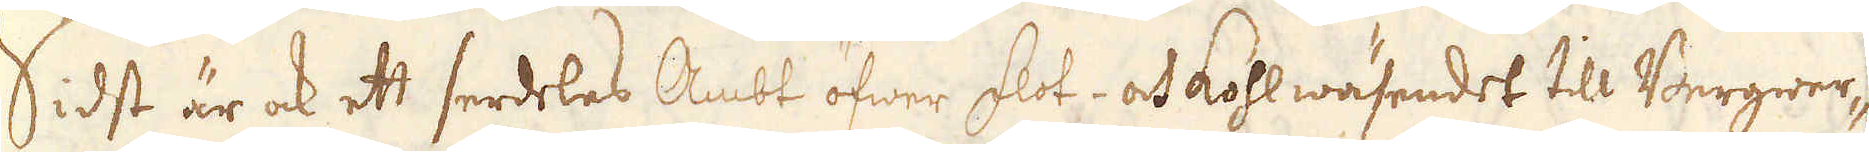Sidst är ock ett serdeles Ambt öfwer flot- och kohlwäsendet till Bergwer-
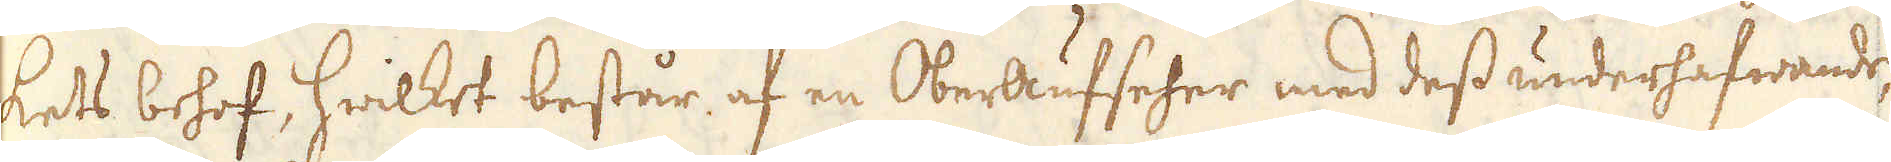kets behof, hwilket består af en OberAufseher med dess underhafwande,
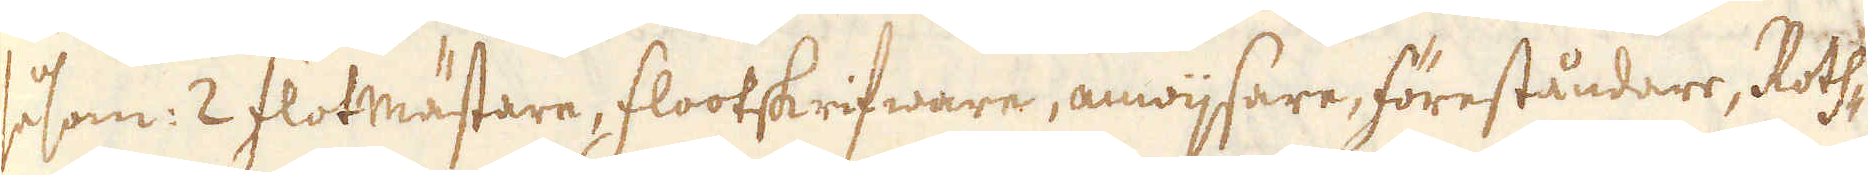såsom: 2 Flotmästare, Flootskrifware, anwijsare, föreståndare, Roth-
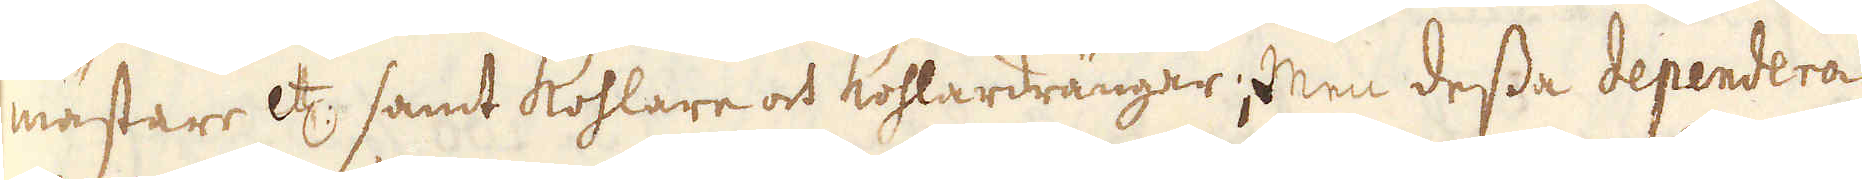mästare etc: samt Kohlare och Kohlardrängar; men dessa dependera
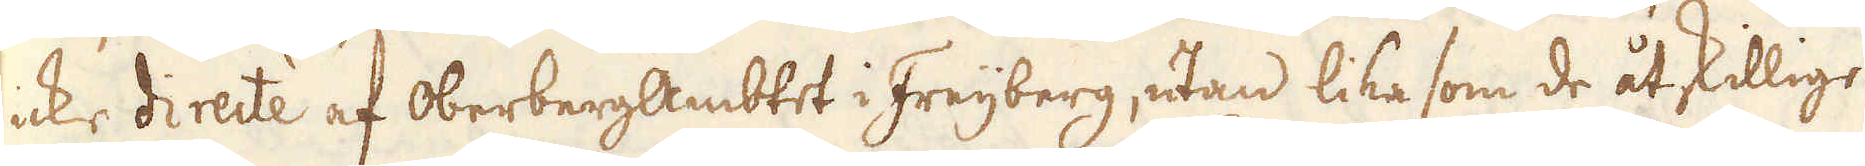icke directe af OberbergAmbtet i Freijberg, utan lika som de åtskillige
